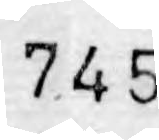745
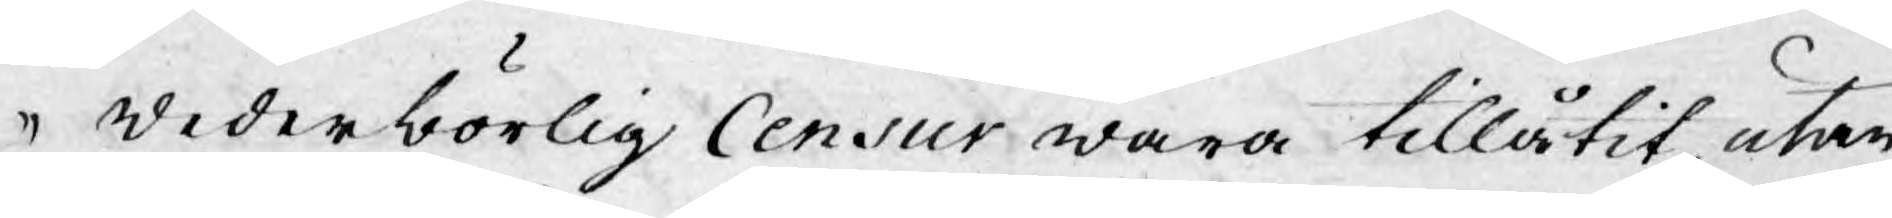wederbörlig Censur wara tillåtit utan
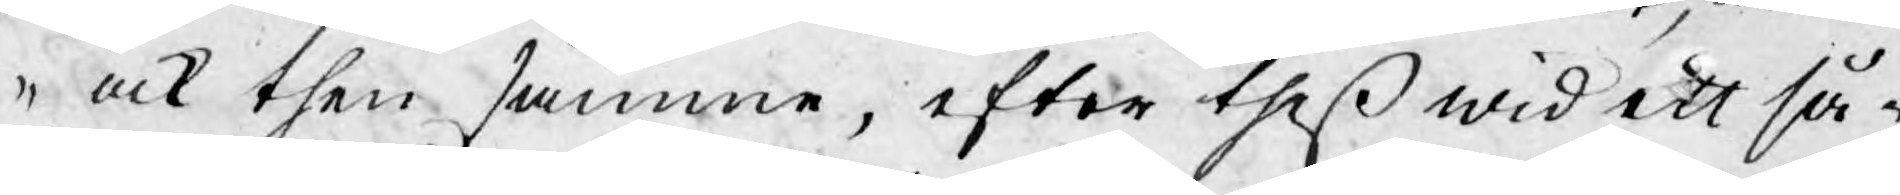och then samme, efter theß wid ett så¬
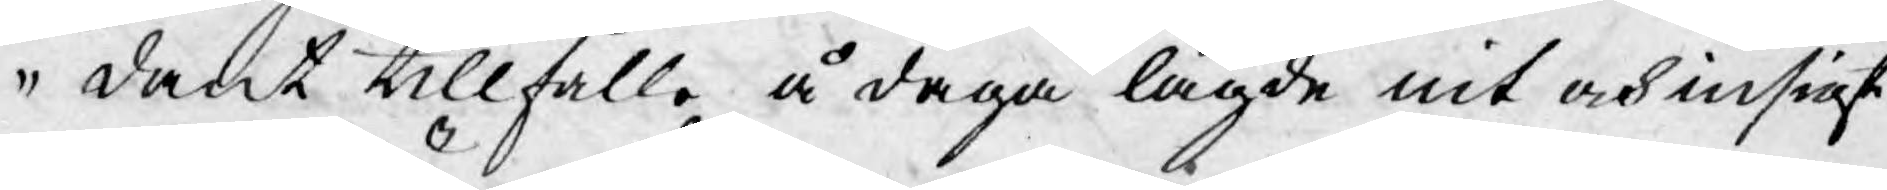dant tillfälle å daga lagde nit och insigt
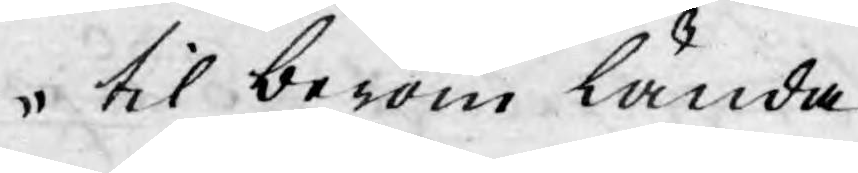til beröm lända.
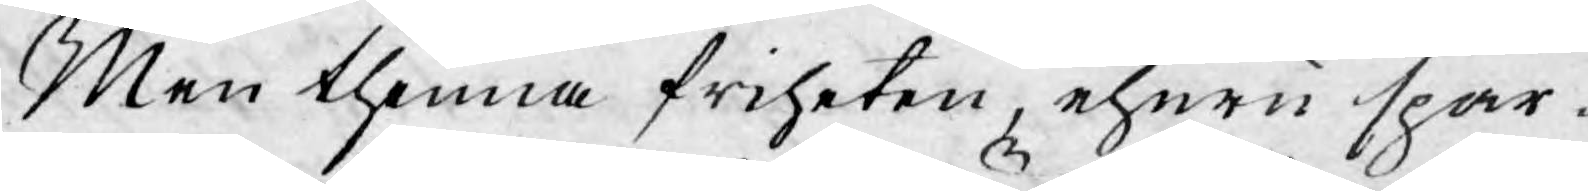Men thenna friheten, ehuru spar-
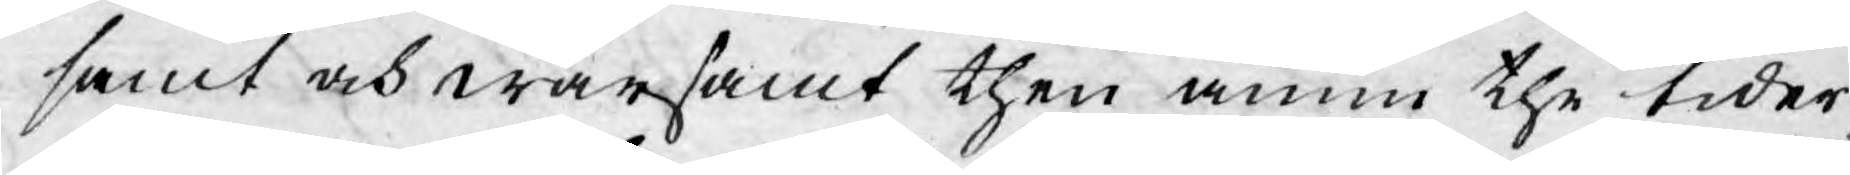samt och warsamt then ännu the tider
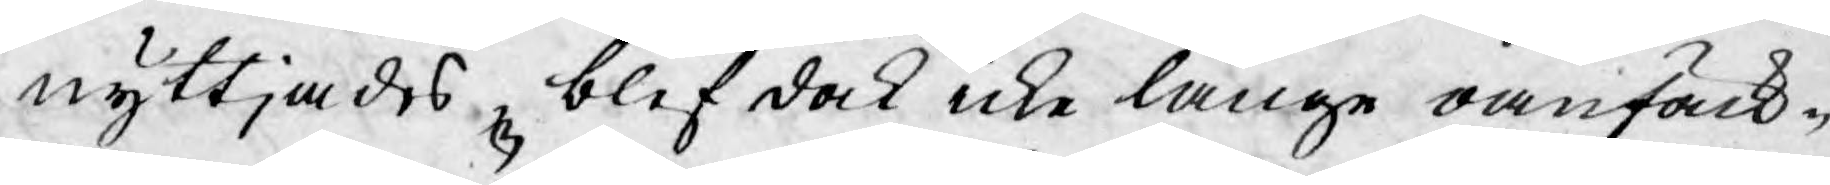nyttjades, blef dock icke länge oanfäck¬
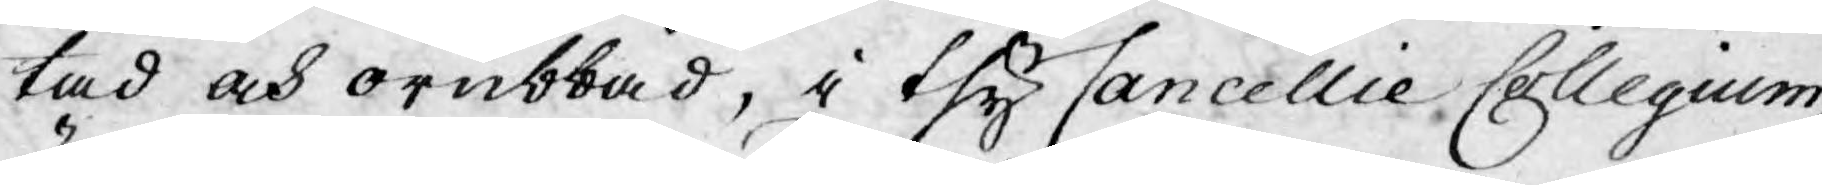tad och orubbad, i thy Cancellie Collegium,
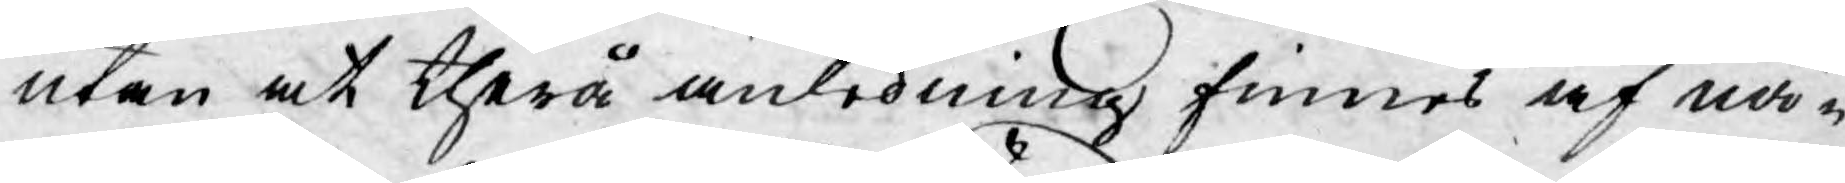utan at therå anledning finnes af nå¬
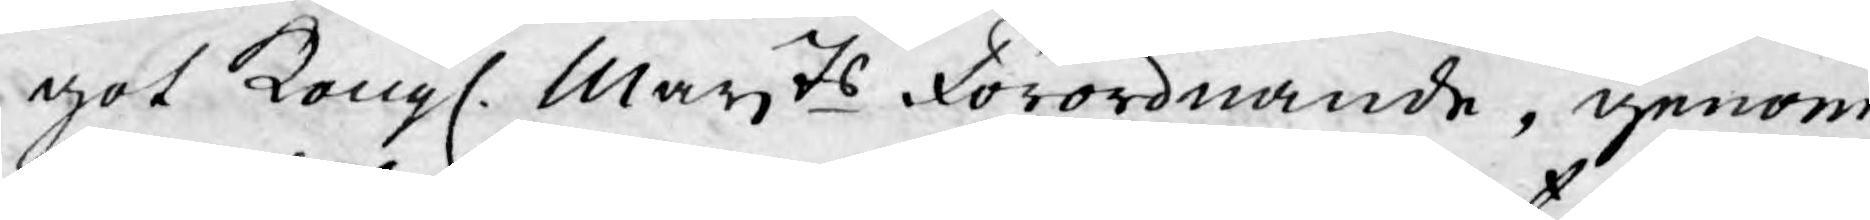got Kongl. Mayts Förordnande, genom
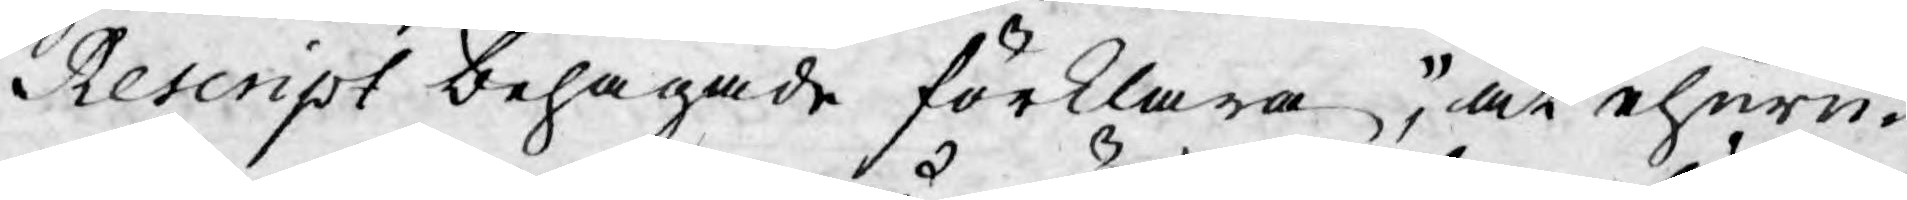Rescript behagade förklara, at ehuru¬
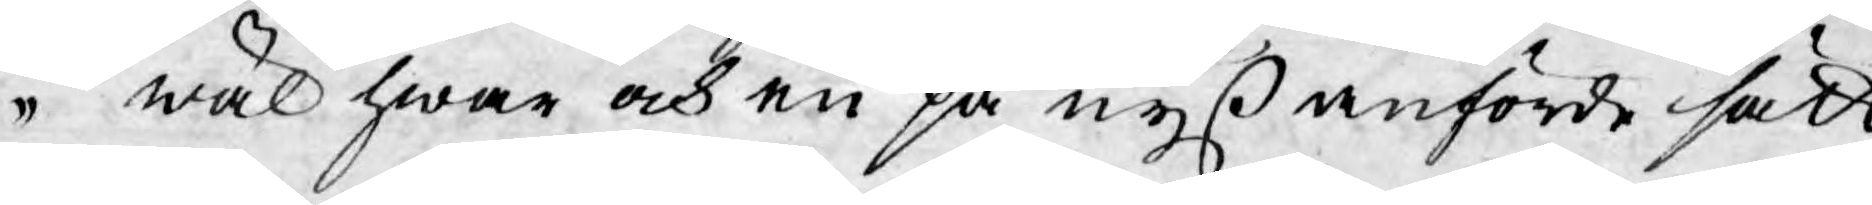wäl hwar och en på nyß anförde sätt
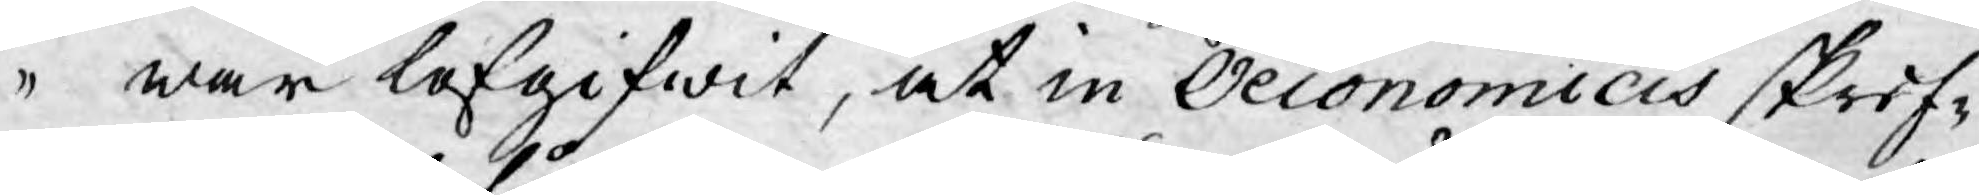war lofgifwit, at in Oeconomicis skrif-
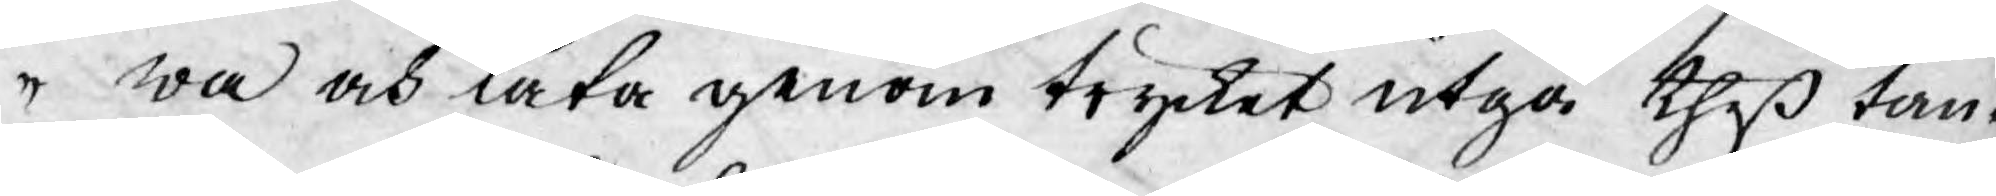wa och låta genom trycket utga theß tan¬
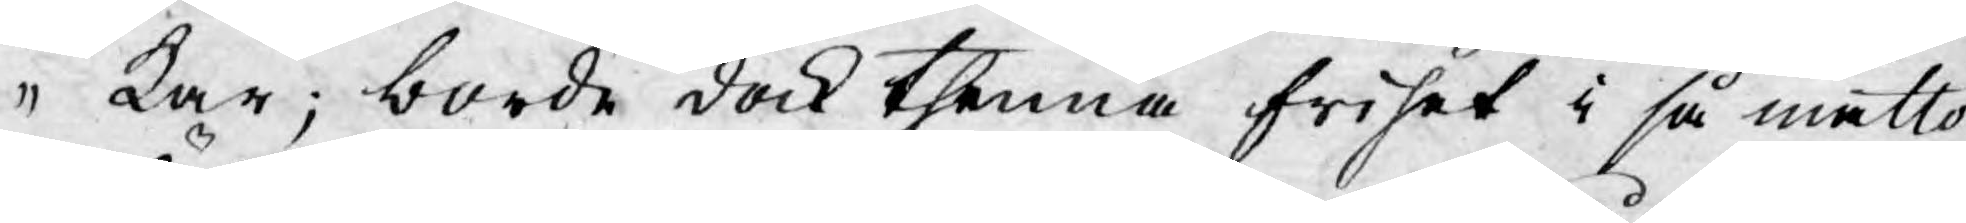kar; borde dock thenna frihet i så måtto
